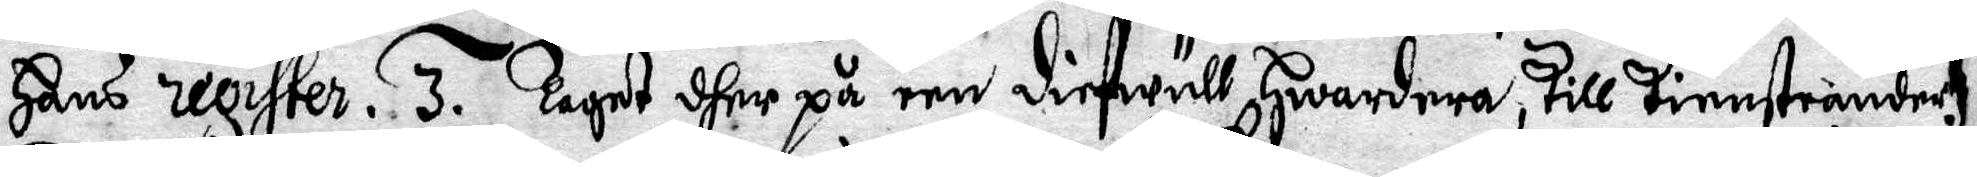Hans register. 3. Taget dher på een diefwull Hwardera, till tiensteande.
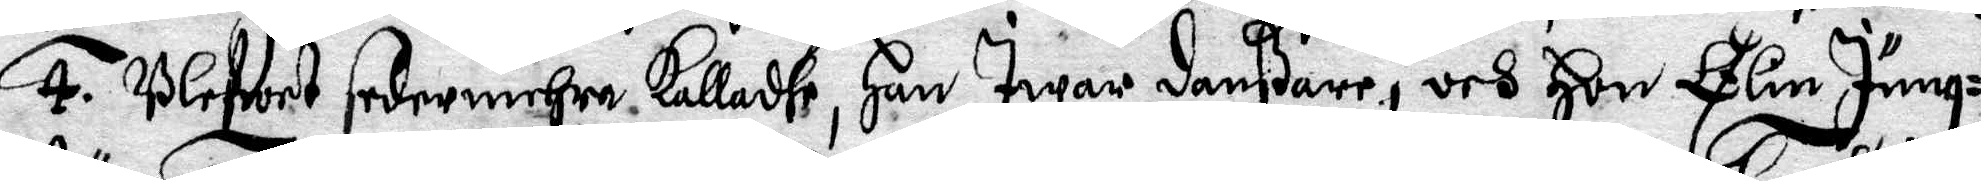4. Blefwet sedermehra Kalladhe, Han Iwar Danßare, och Hon Elin Jung¬
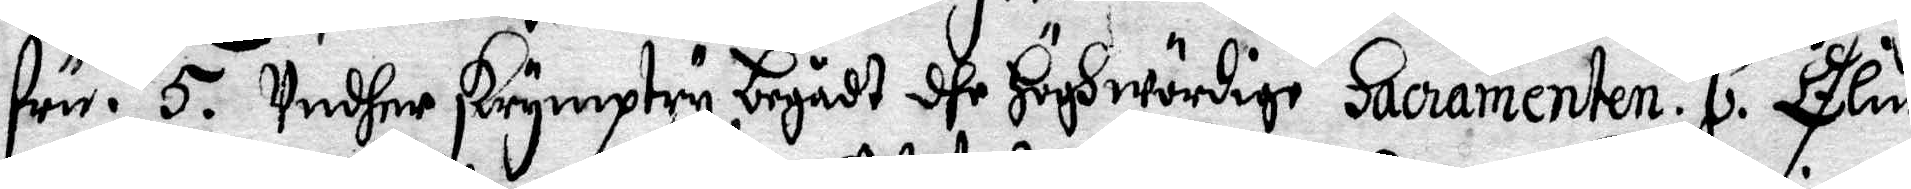fru. 5. Undher skrymptry, begådt dhe Höghwördige Sacramenten. 6. Elin
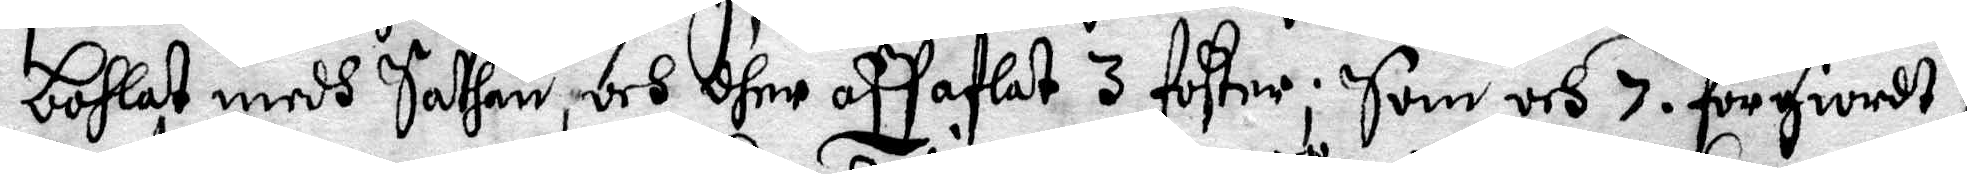Bohlat medh Sathan, och dher aff aflat 3 foster; Som och. 7. förgiordt
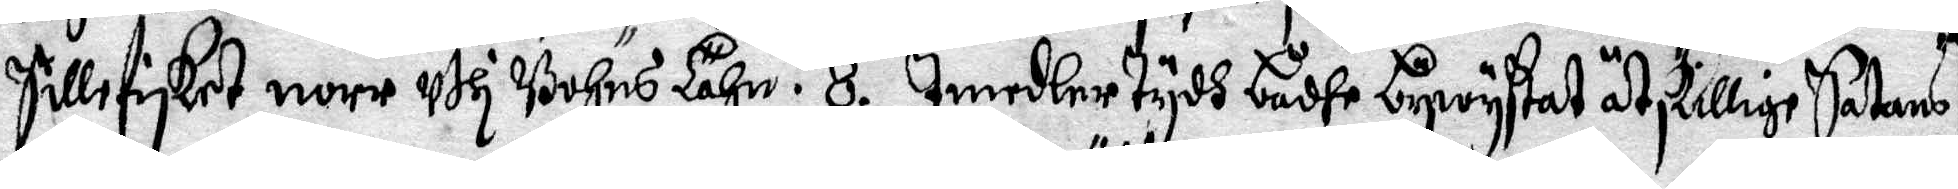Sillefisket norr uthi Bohus Lähm. 8. Imedlertydh bådhe bywystat åtskillige Satans
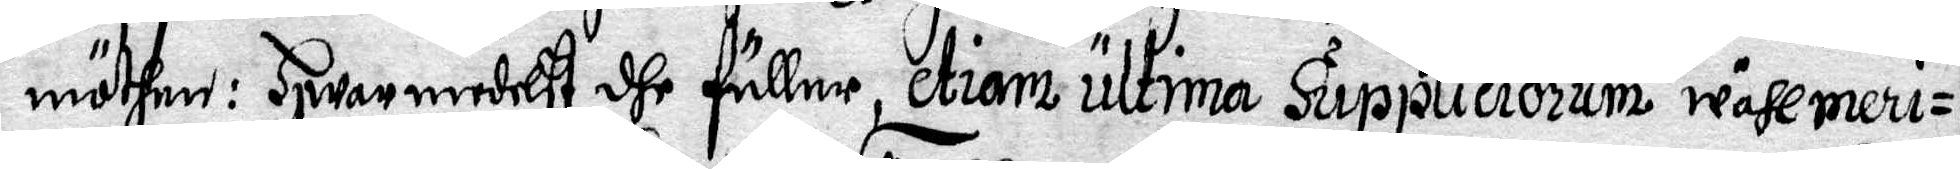möthen: Hwarmedelst dhe fuller, etiam ultima Suppliciorum wähl meri¬
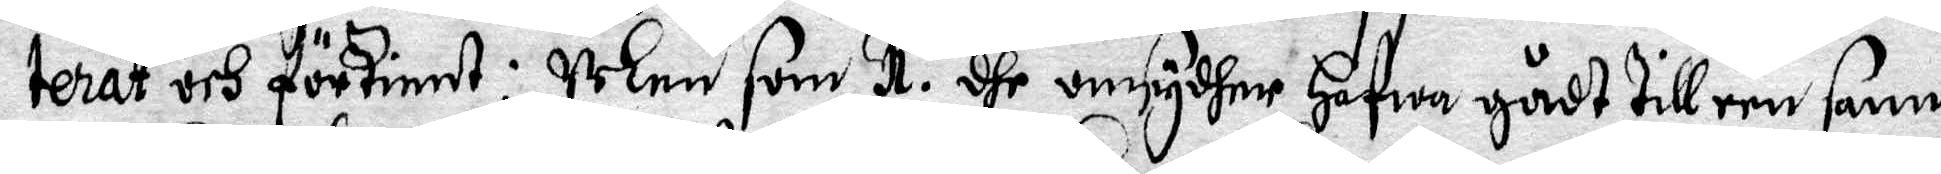terat och förtient. Men som 1. dhe omsydher hafwa gådt till een sann
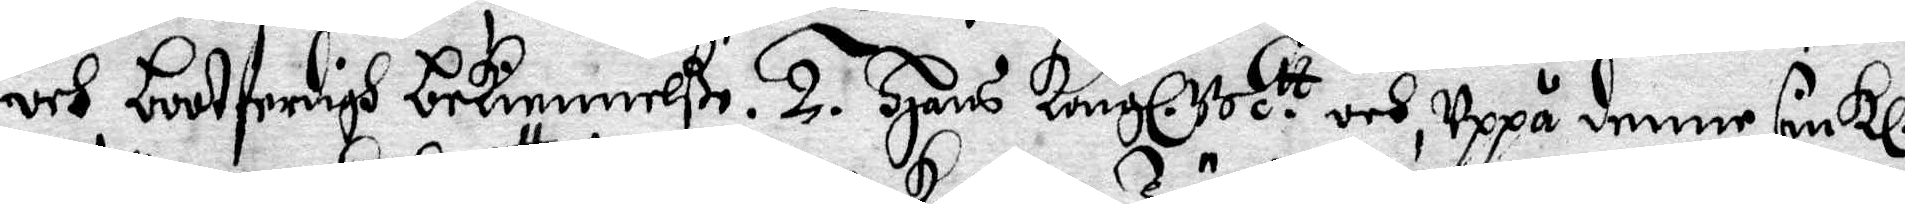och bootferdigh bekiennelße. 2. Hans Kongl. M.tt och, uppå denne siukl.
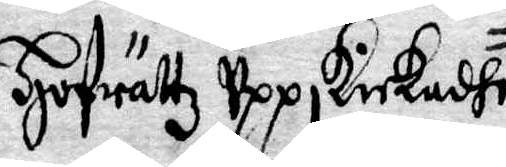Hofrättz uppskickadhe, 
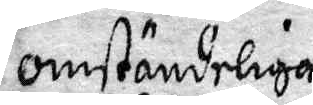omständeliga
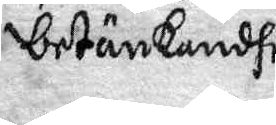betänkandhe
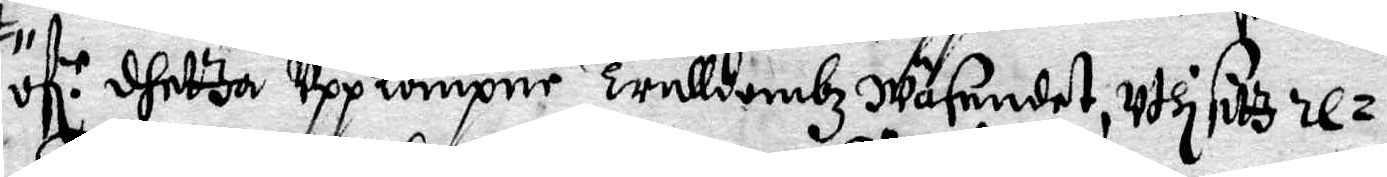öf.r dhettza uppkompne Trulldombz Wäsendet, uthi sitz re¬
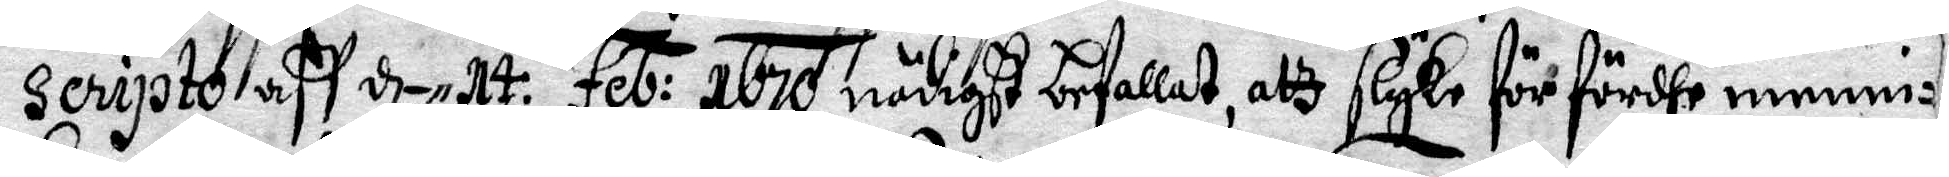seripto aff d- 14 Feb: 1670, nödigt befallat, alz slyke för förfördhe menni¬
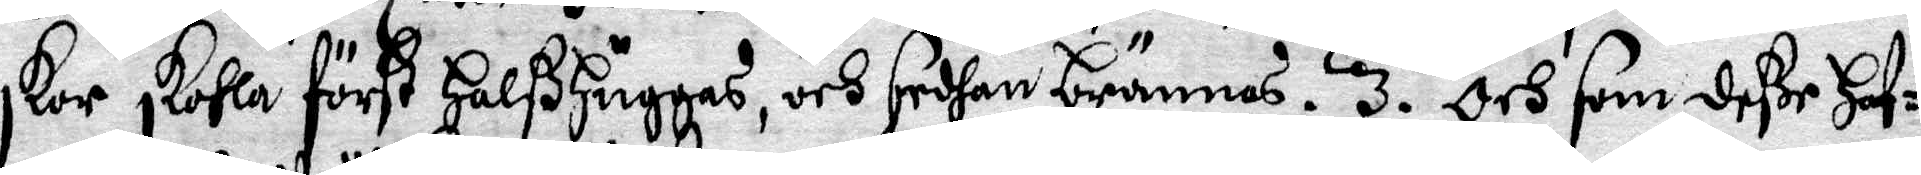skor skohla först HalßHuggas, och sedhan brännas. 3. Och som deße Haf¬
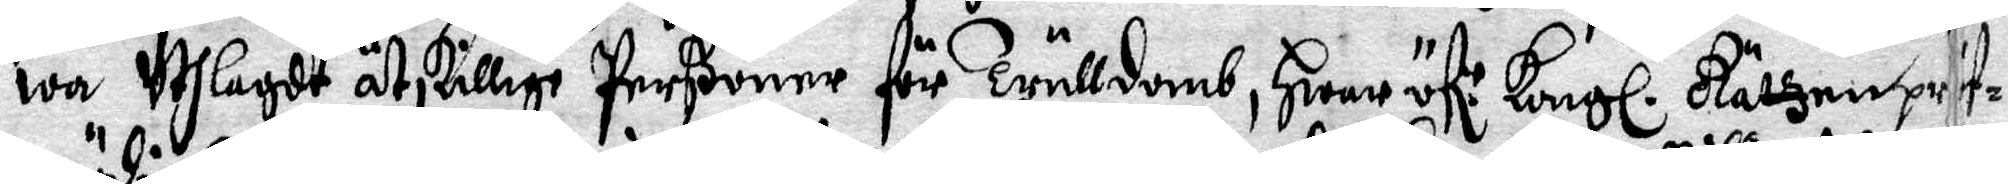wa uthlagdt åtskillige perßoner för trulldomb, Hwar öf:r Kongl. Rättzen prif¬
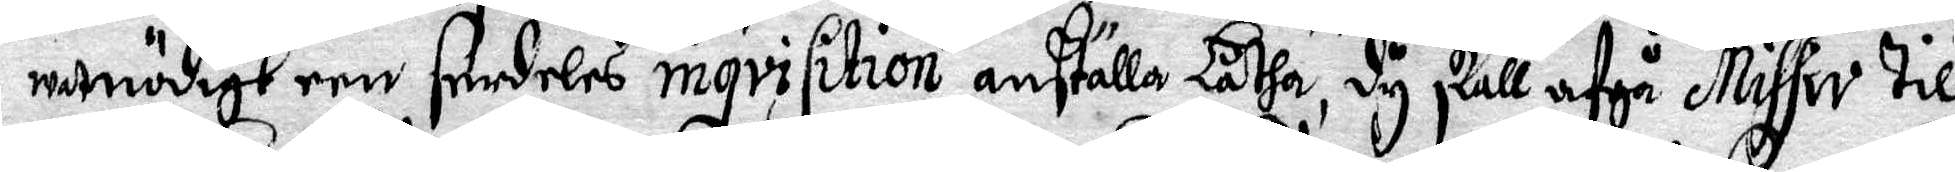wat nödigt een derdeles inqvisition anställa Låtha, dy skall afgå Missiv till
